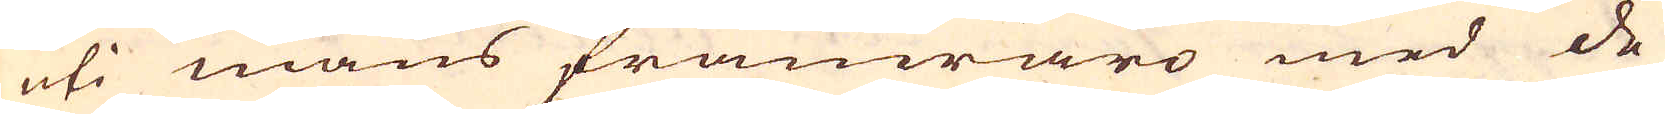uti mans frånwraro med de
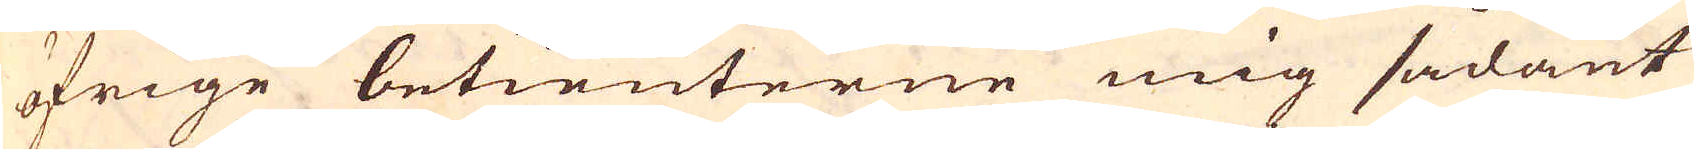öfrige betienterne mig sådant
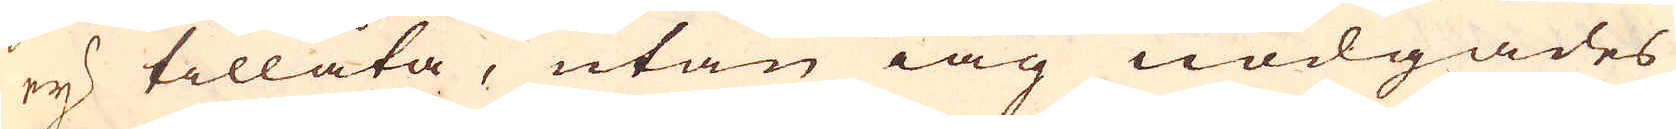ej tillåta, utan iag nödgades
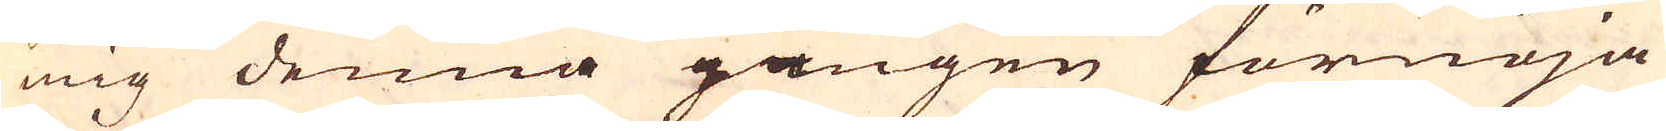mig denna gången förnöja
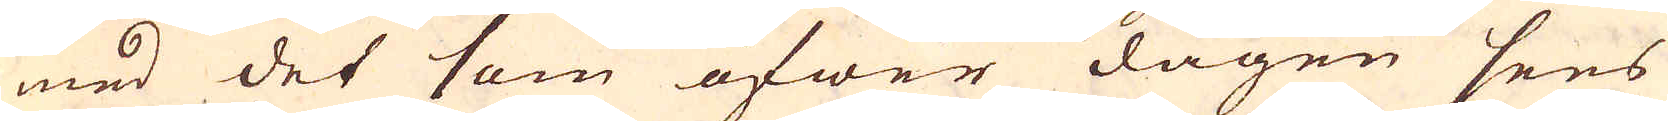med det som öfwer dagen sees
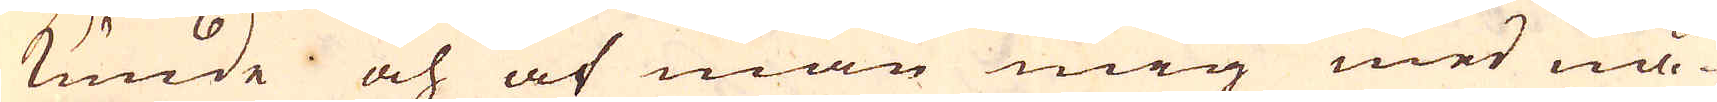kunde och af man mig med nå-
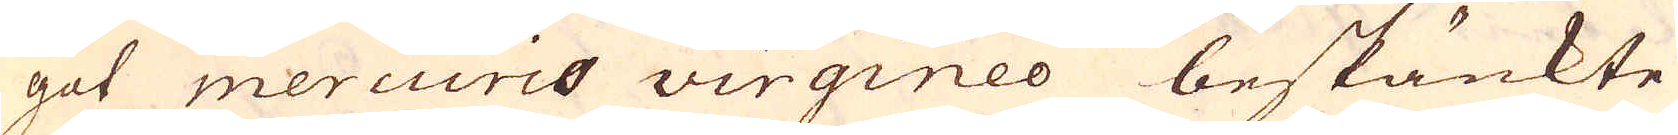got mercurio virgineo beskänkte
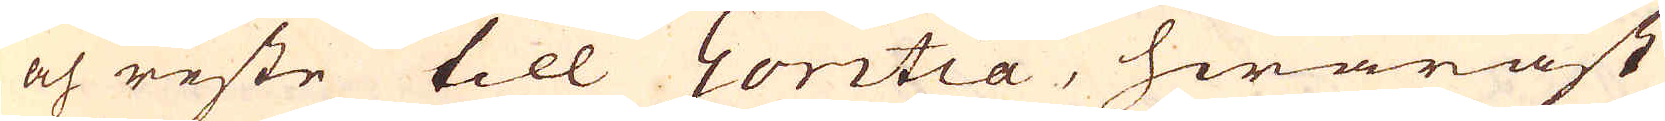och reste till Goritia, hwaräst
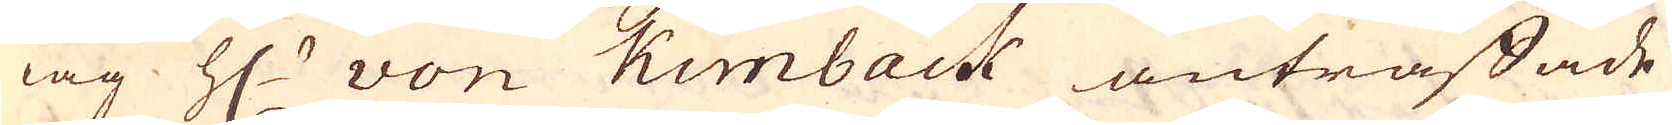iag H:r von Kunback anträffade
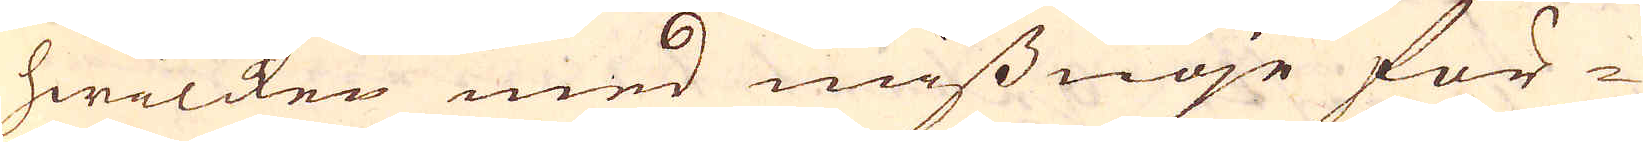hwilcken med missnöje för-
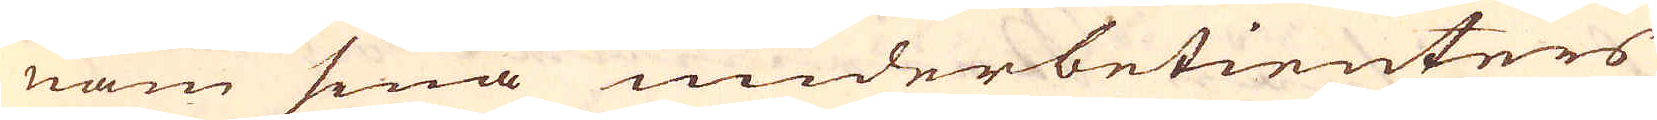nam sina underbetienters
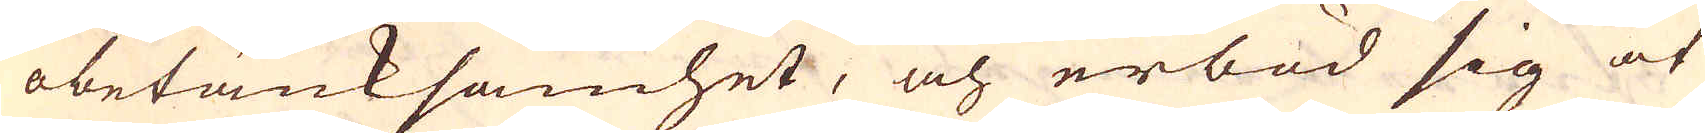obetänksamhet, och erböd sig at
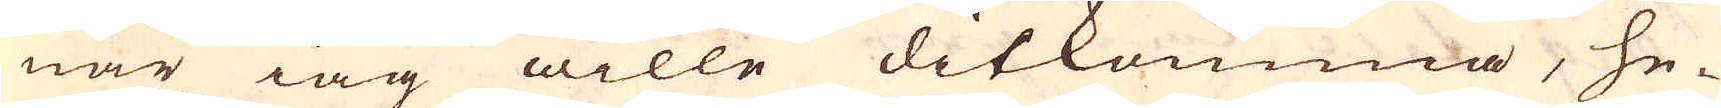när iag wille ditkomma, he-
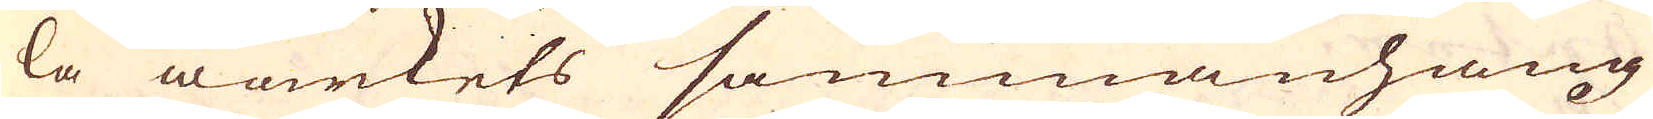la wärkets sammanhang
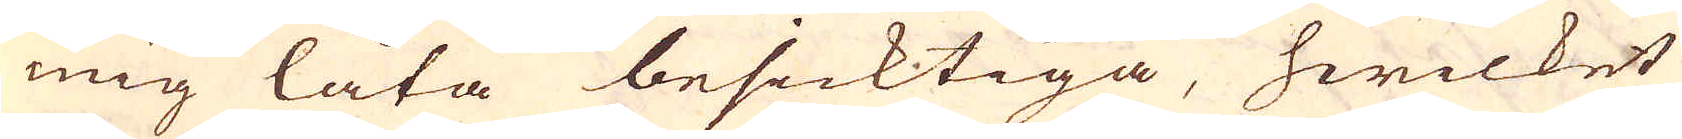mig låta besicktiga, hwilket
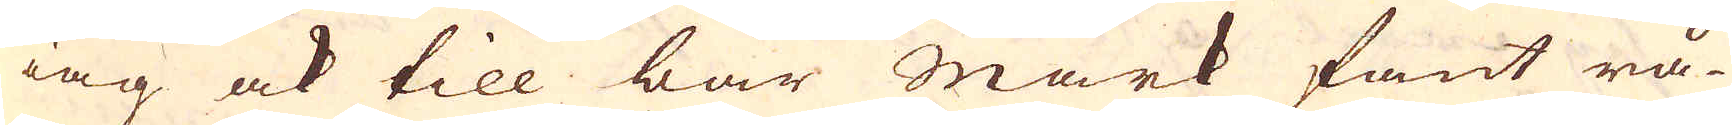iag ock till bar Mark fant rå-
